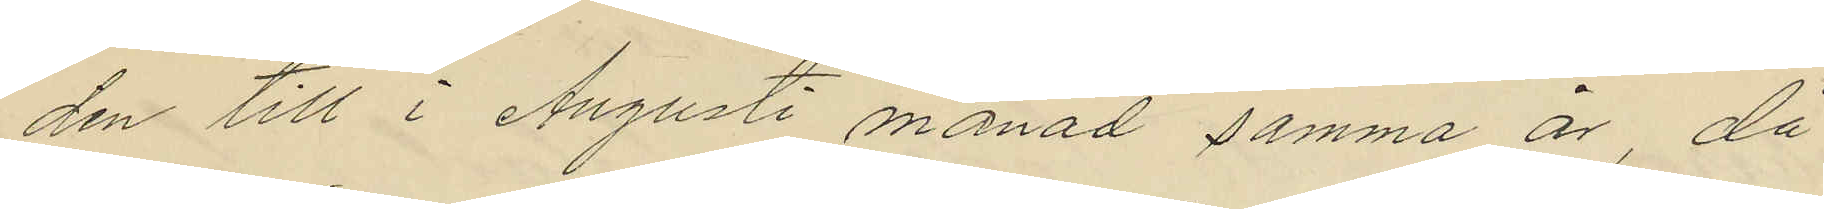den till i Augusti månad samma år, då
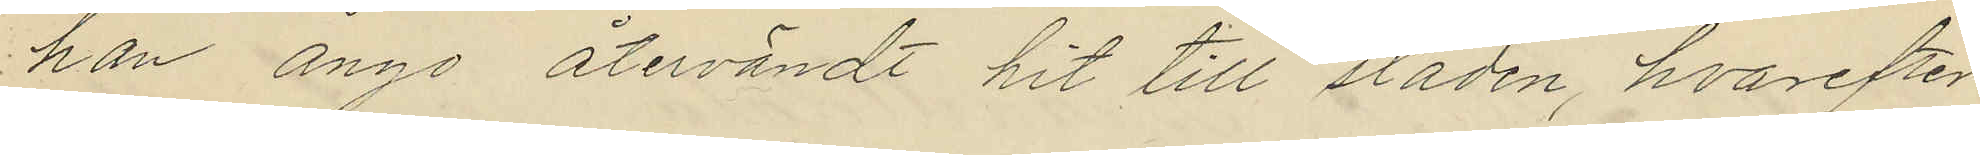han ånyo återvändt hit till staden, hvarefter
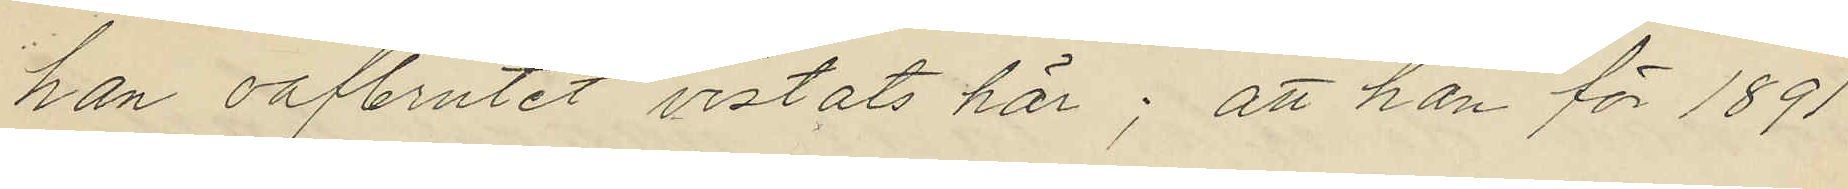han oafbrutet vistats här; att han för 1891
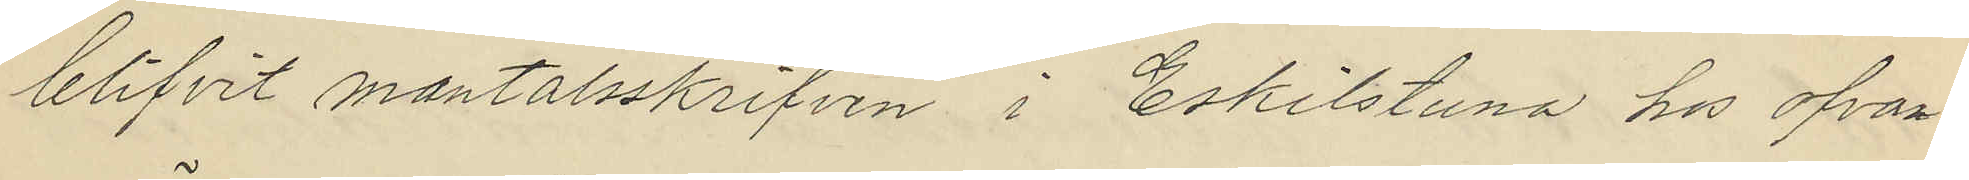blifvit mantalsskrifven i Eskilstuna hos ofvan¬
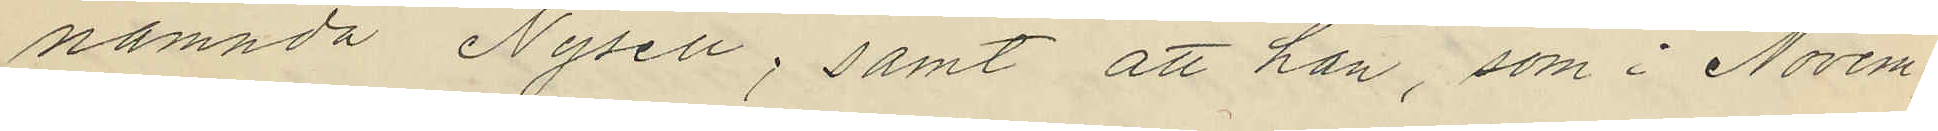nämnda Nysell; samt att han, som i Novem¬
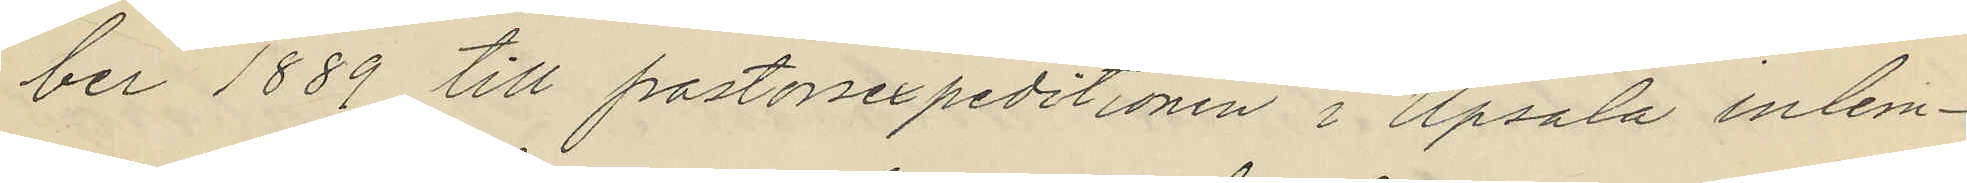ber 1889 till pastorexpeditionen i Upsala inlem¬
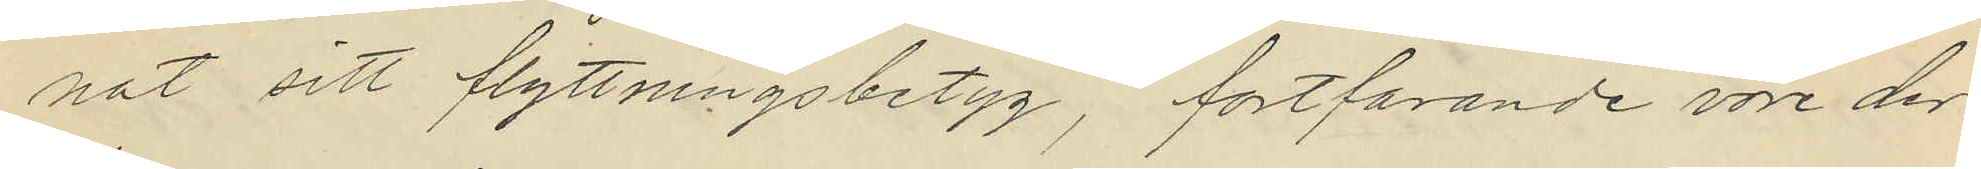nat sitt flyttningsbetyg, fortfarande vore der
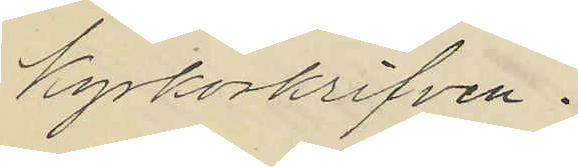kyrkorskrifven.
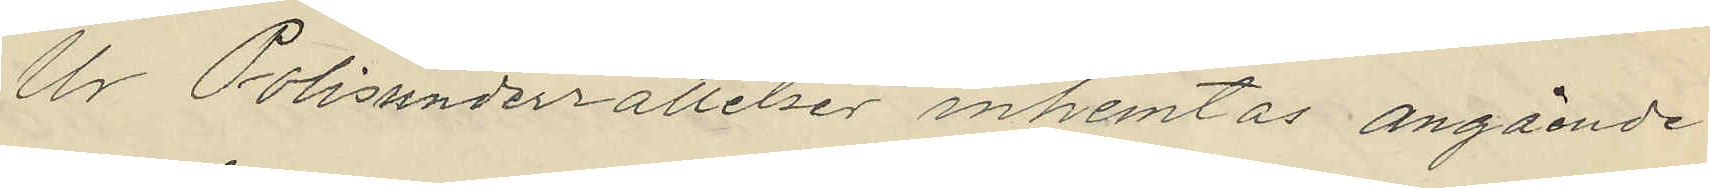Ur Polisunderrättelser inhemtas angående
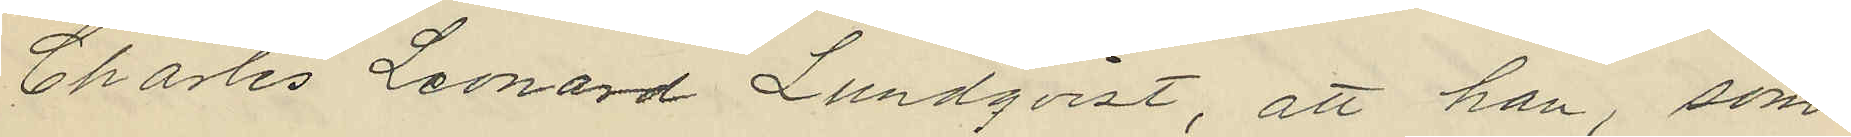Charles Leonard Lundqvist, att han, som
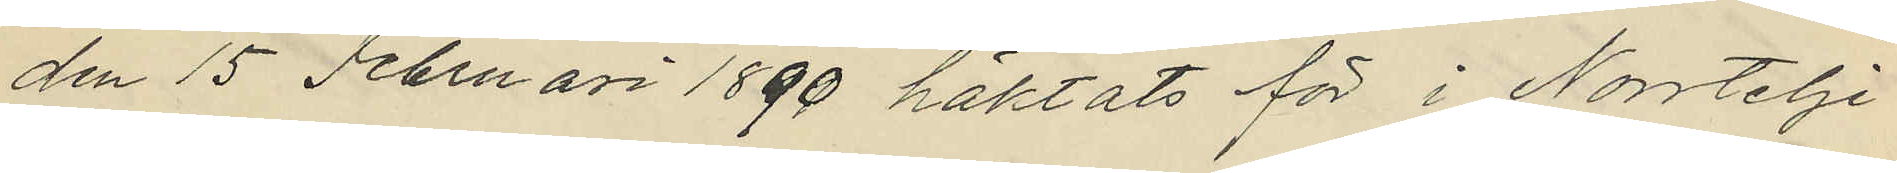den 15 Februari 1890 häktats för i Nortelje
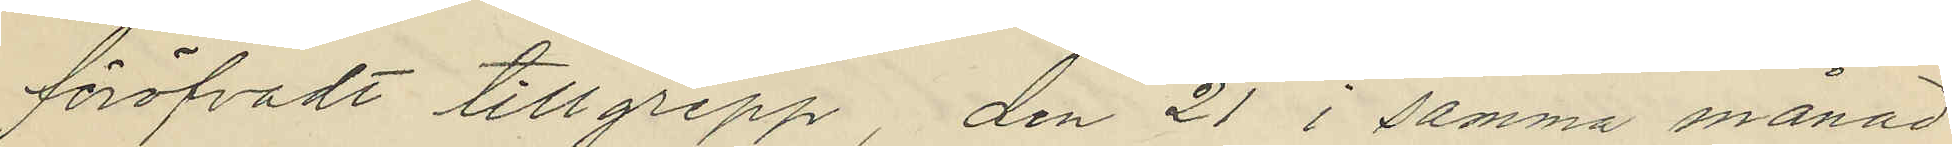föröfvadt tillgrepp, den 21 i samma månad
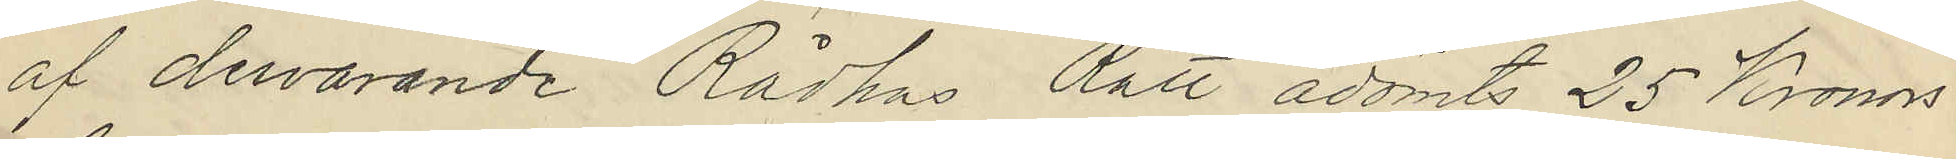af dervarande Rådhus Rätt ådömts 25 Kronors
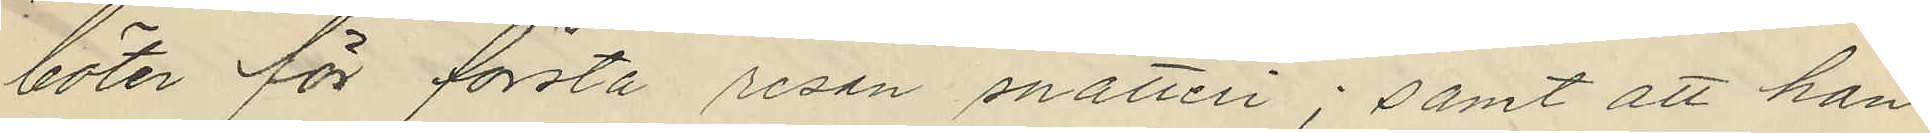böter för första resan snatteri; samt att han
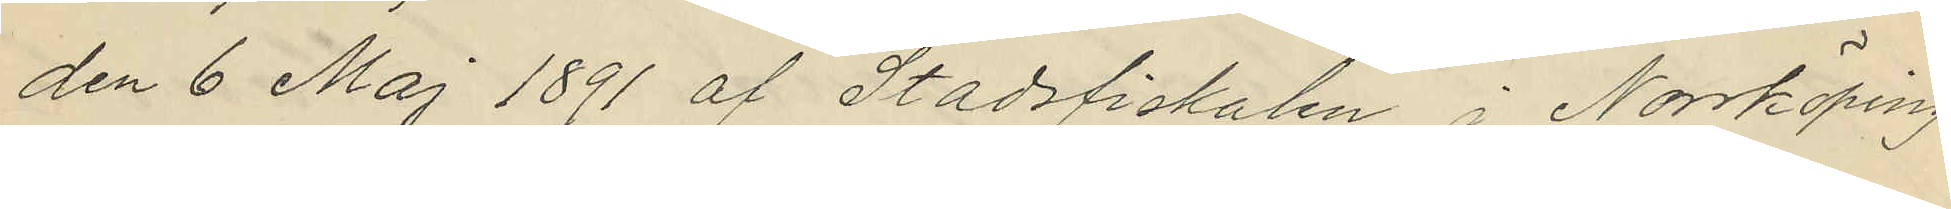den 6 Maj 1891 af Stadsfiskalen i Norrköping
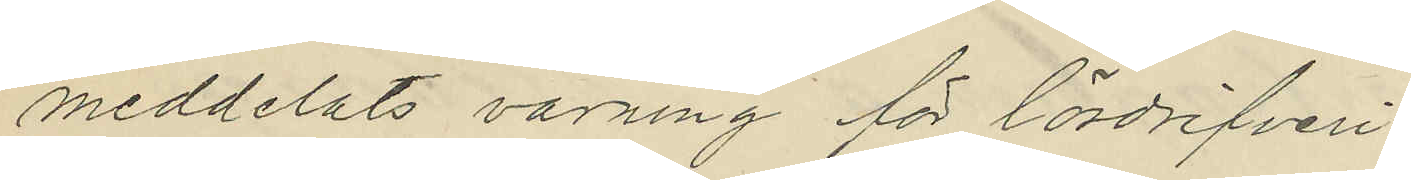meddelats varning för lösdrifveri.
